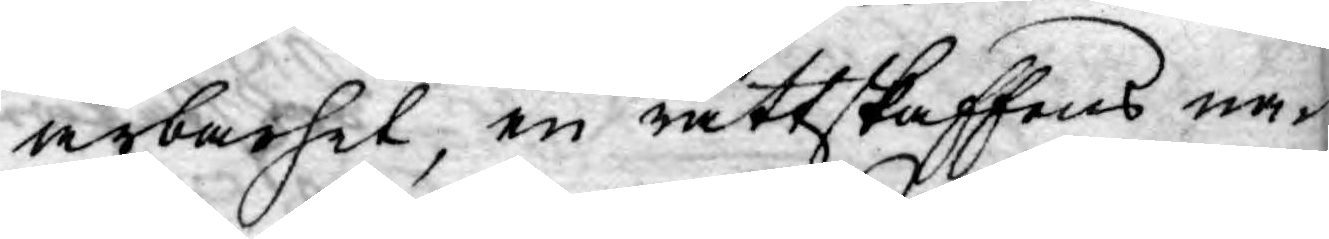ärbarhet, en rättskaffens na¬
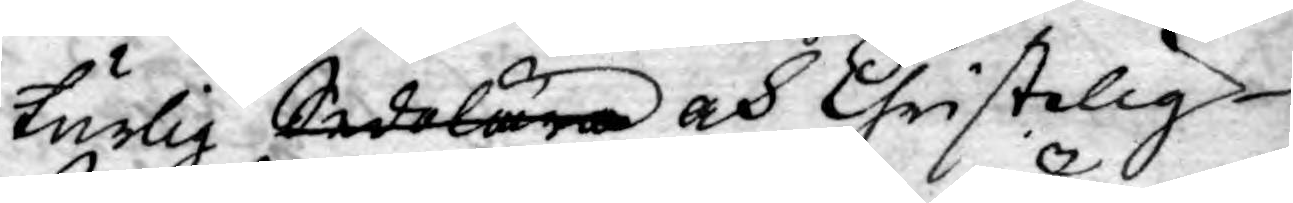turlig Sedolära och Christelig
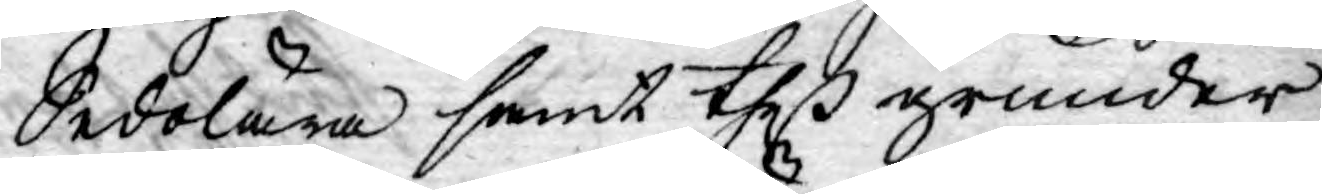Sedolära samt theß grunder
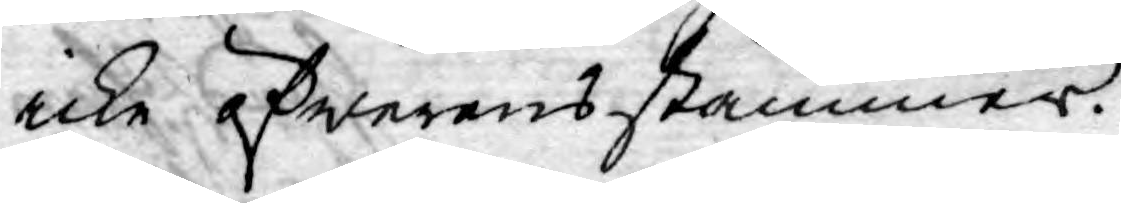icke öfwerensstämmer.
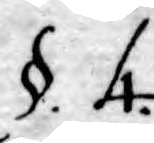§. 4.
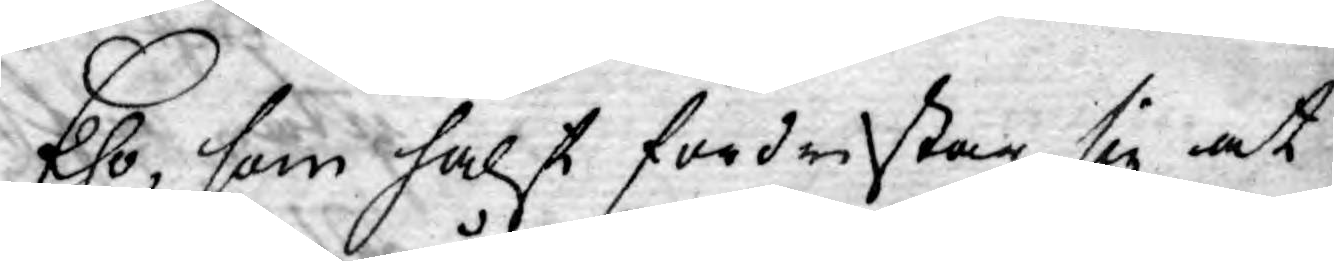Eho, som hälst fördristar sig at
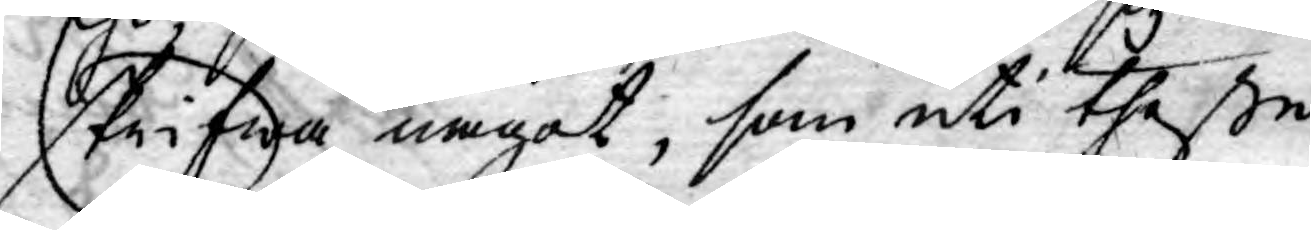skrifwa något, som uti theße
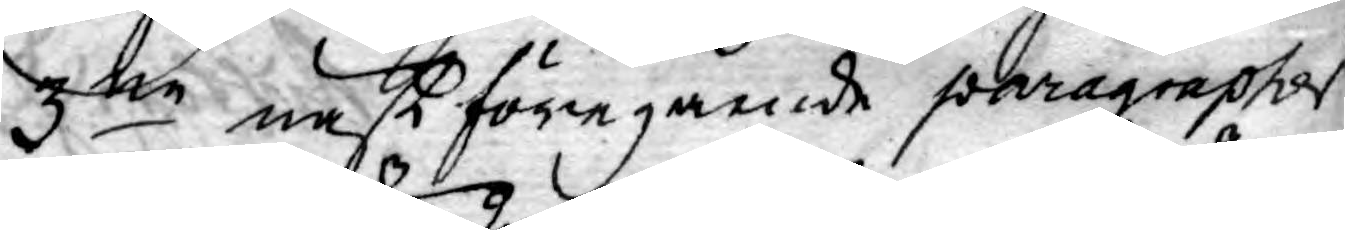3ne näst föregående paragrapher
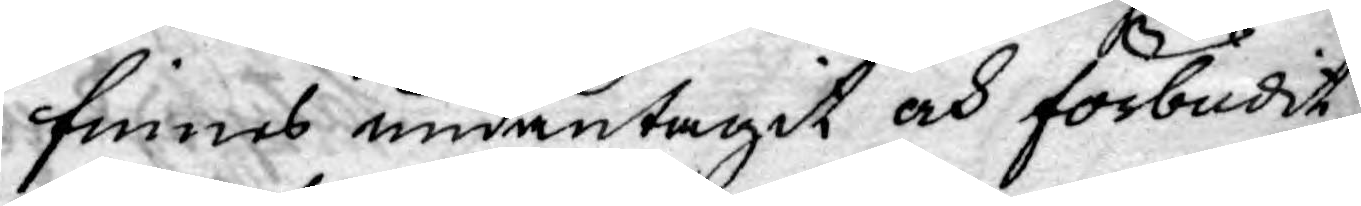finnes undantagit och förbudit,
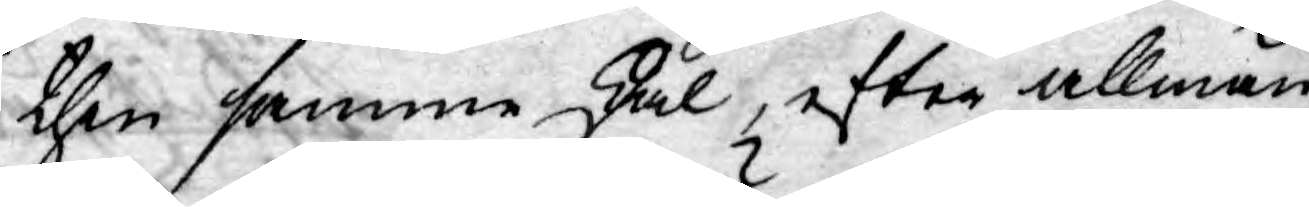then samme skal, efter allmän
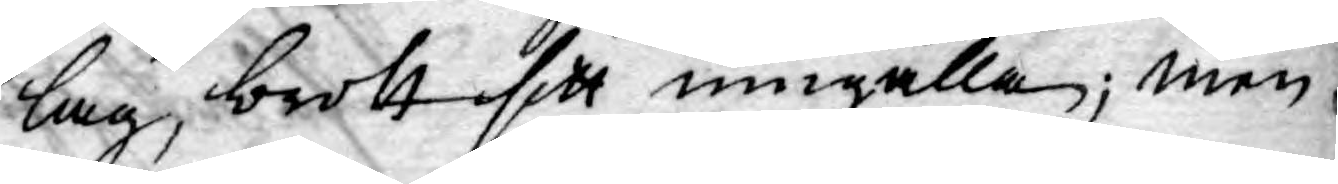lag, brott sitt umgälla; men
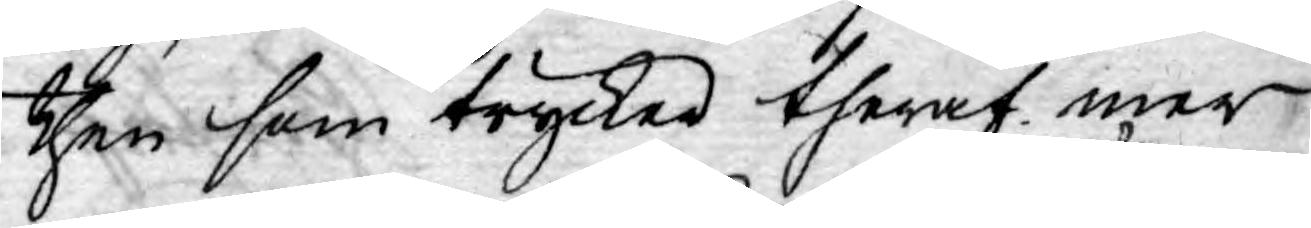then som trycker theraf mer
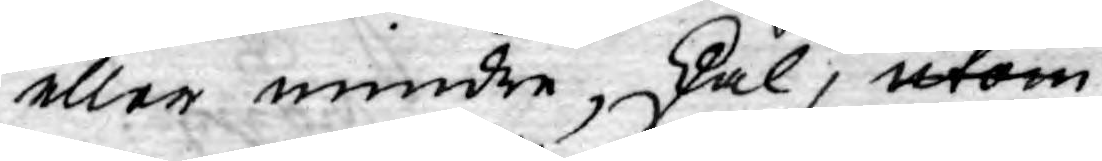eller mindre, skal, utom
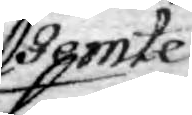jemte
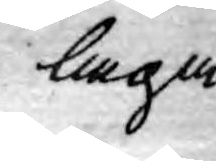laga
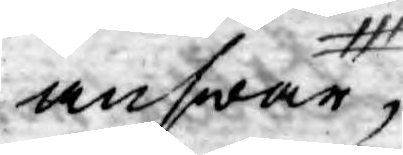answar,
